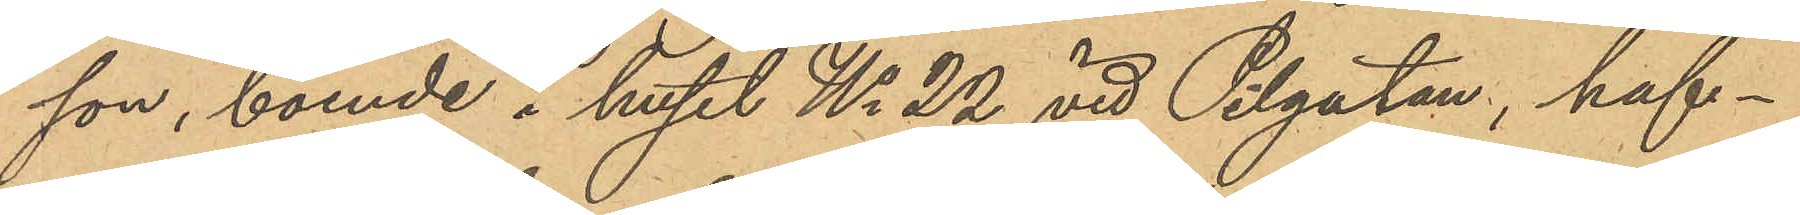son, boende i huset No 22 vid Pilgatan, haf¬
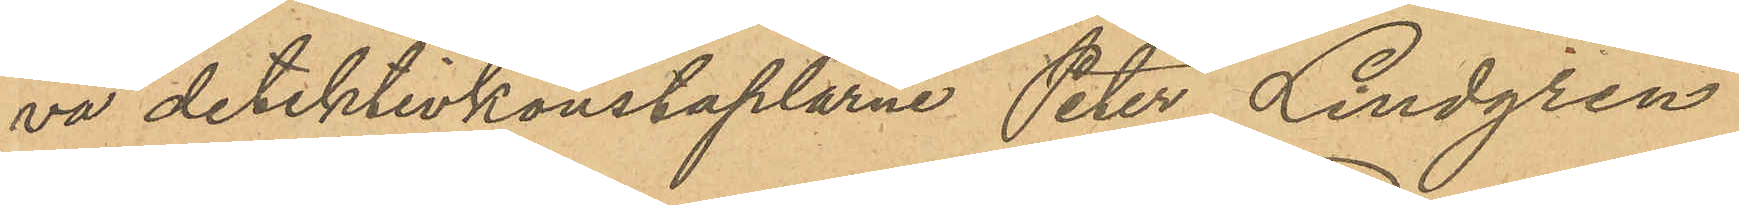va detektivkonstaplarne Peter Lindgren
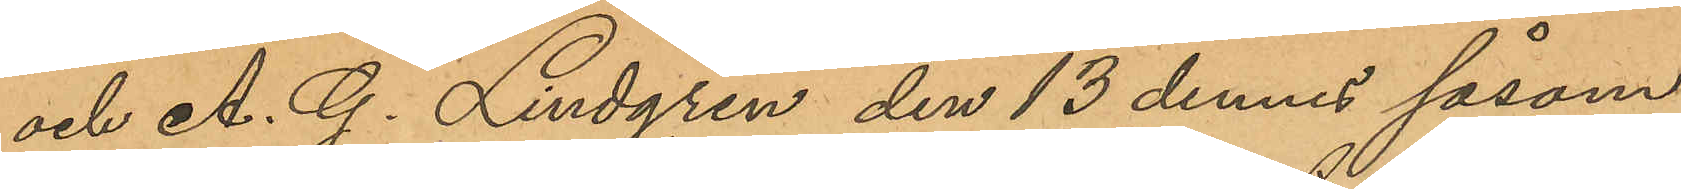och A. G. Lindgren den 13 dennes såsom
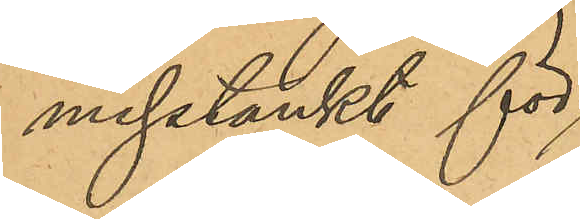misstänkt för
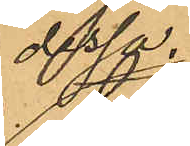dessa
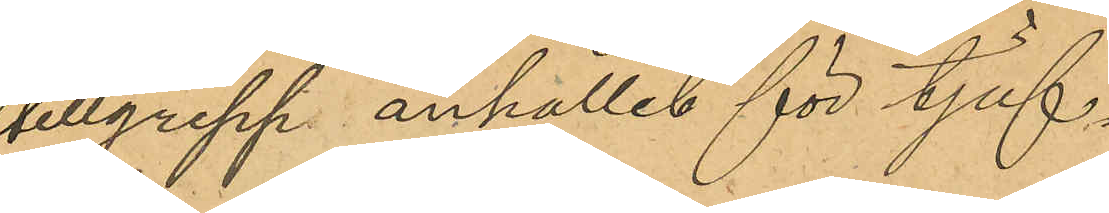tillgrepp anhållit för tjuf¬
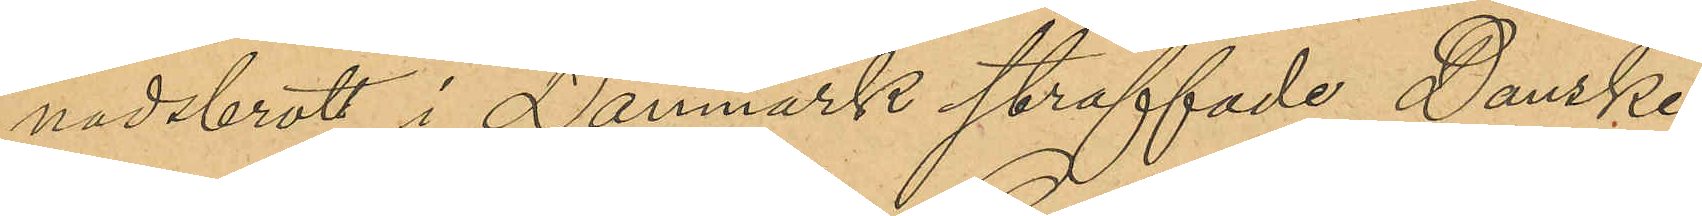nadsbrott i Danmark straffade Danske
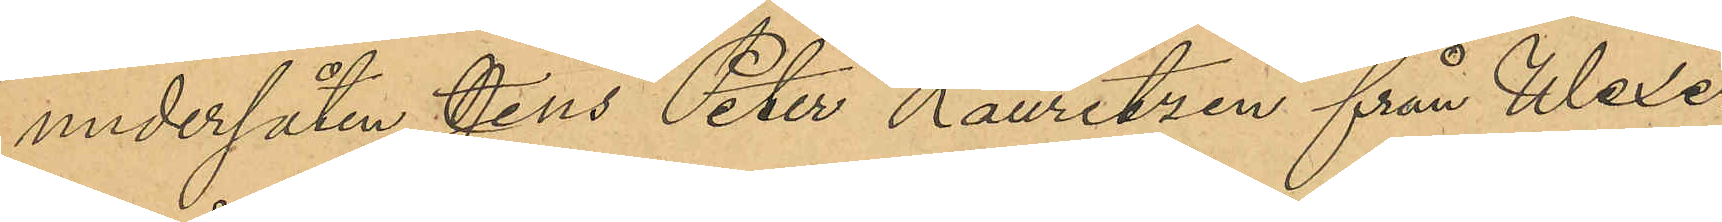undersåten Jens Peter Lauritzen från Wexe¬
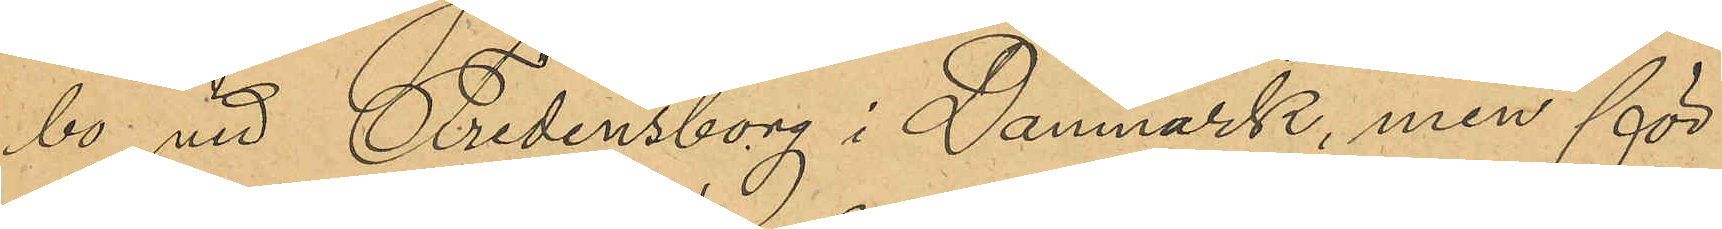bo vid Fredensborg i Danmark, men för
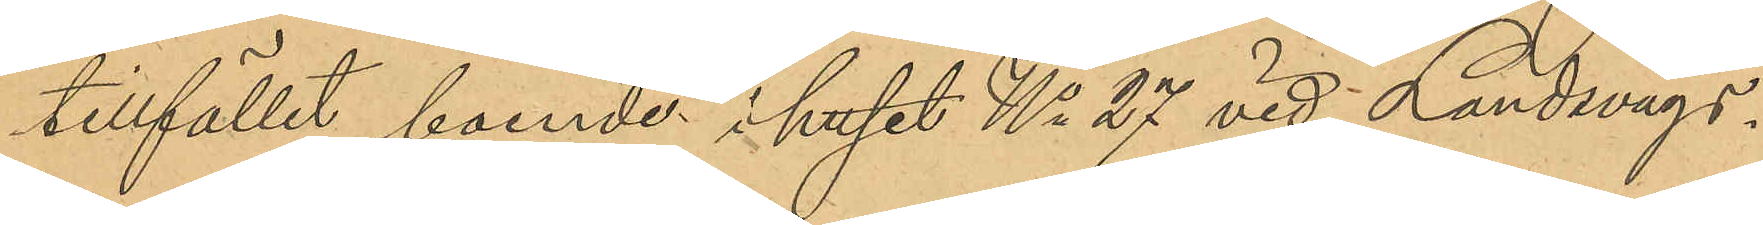tillfället boende i huset No 27 vid Landsvägs¬
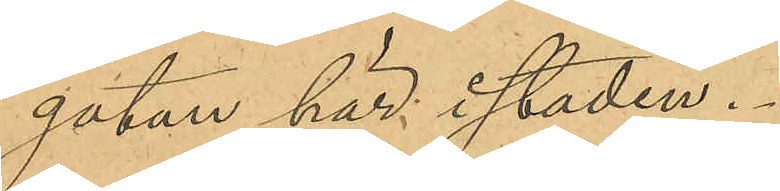gatan här i staden.
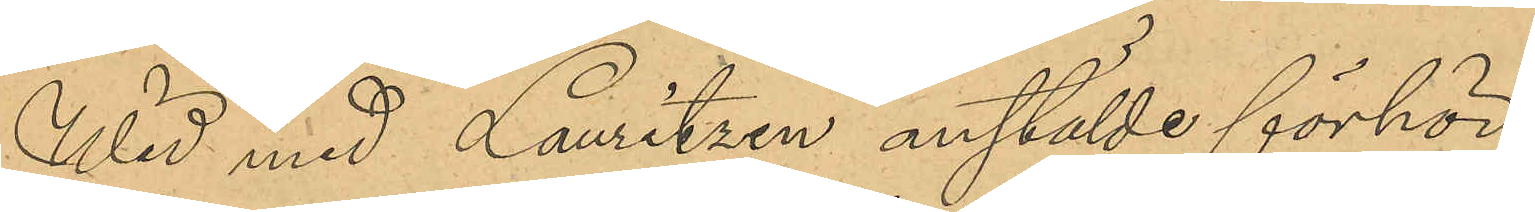Wid med Lauritzen anstälde förhör
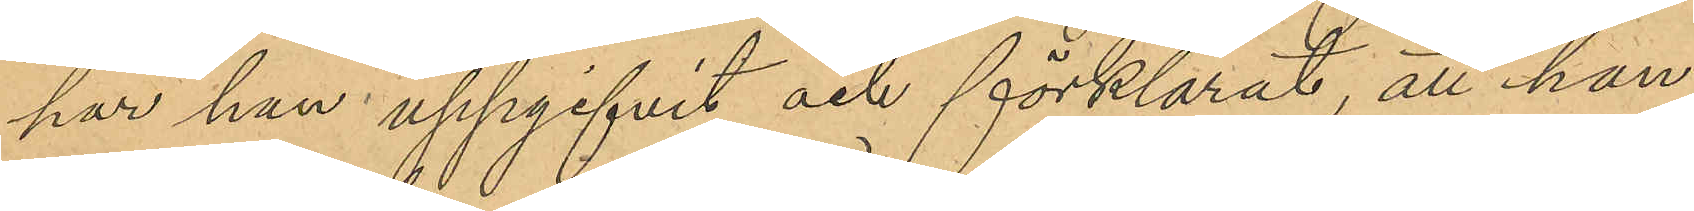har han uppgifvit och förklarat, att han
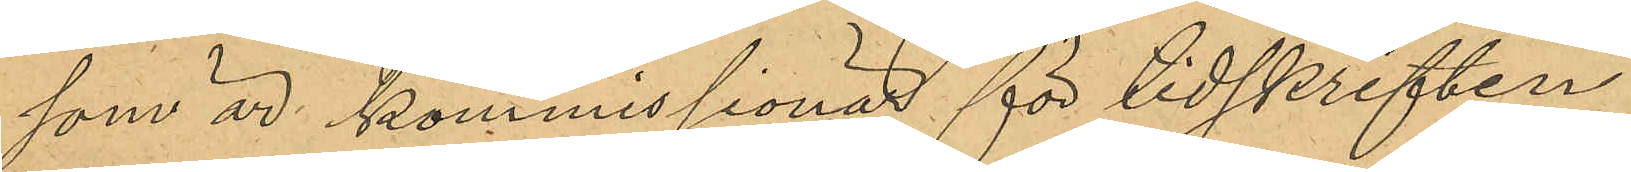som är kommissionär för tidskriften
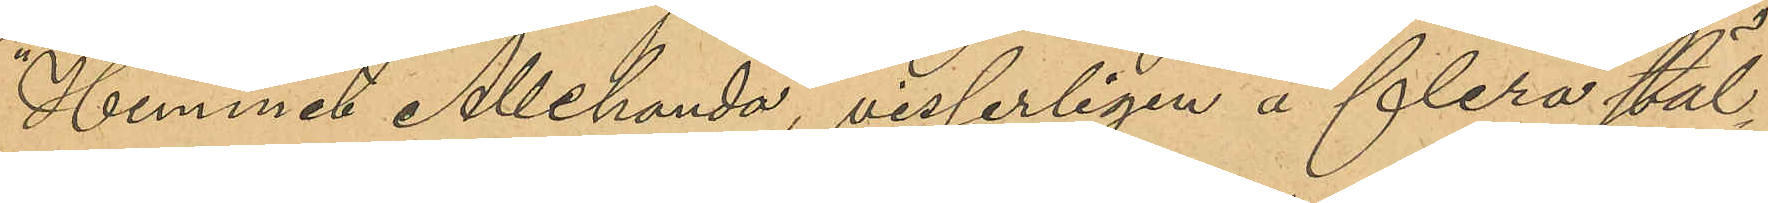"Hemmet Allehanda", visserligen å flera stäl¬
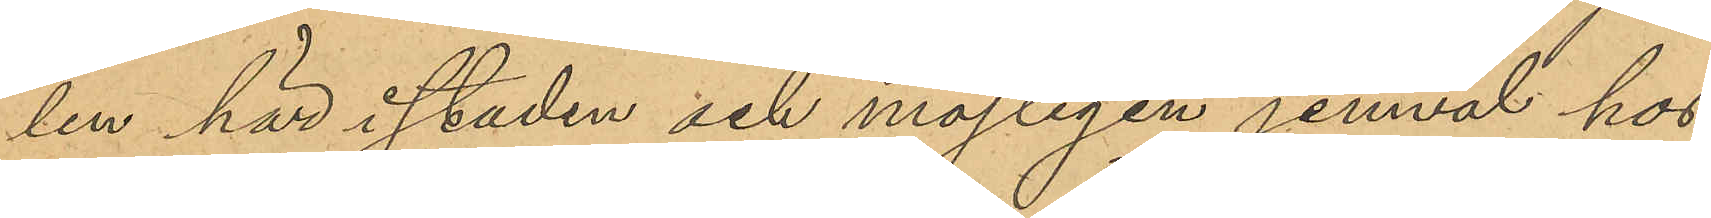len här i staden och möjligen jemväl hos
